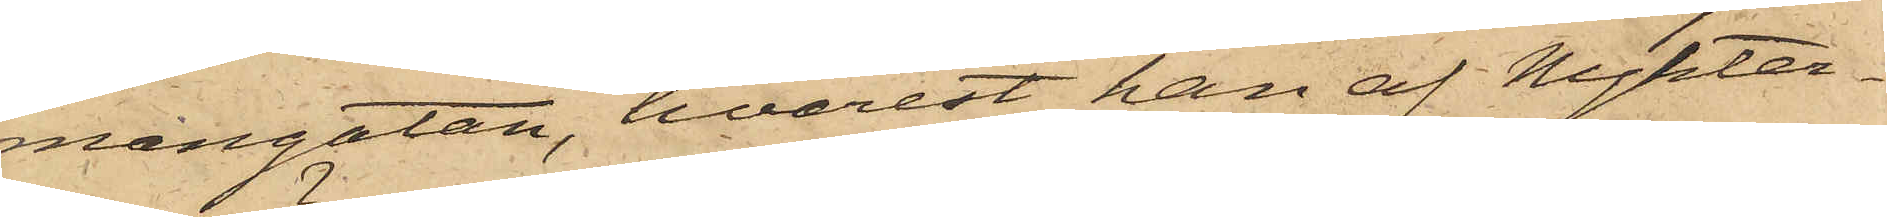mangatan, hvarest han af Nykter¬
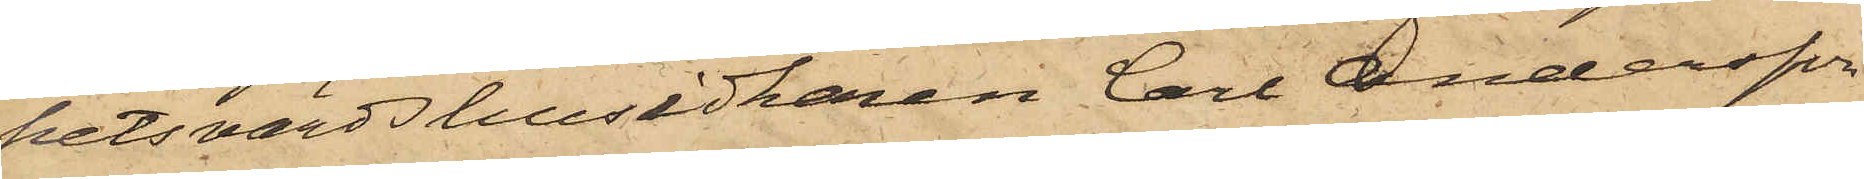hetsvärdshusidkaren Carl Andersson
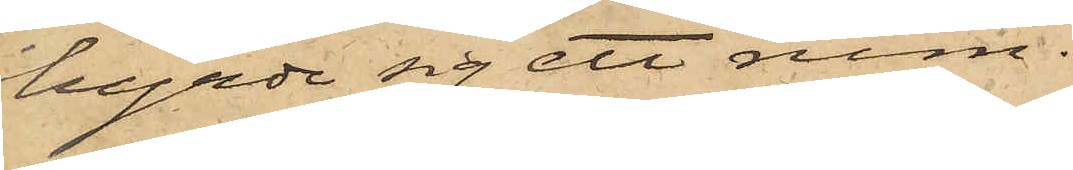hyrde sig ett rum.
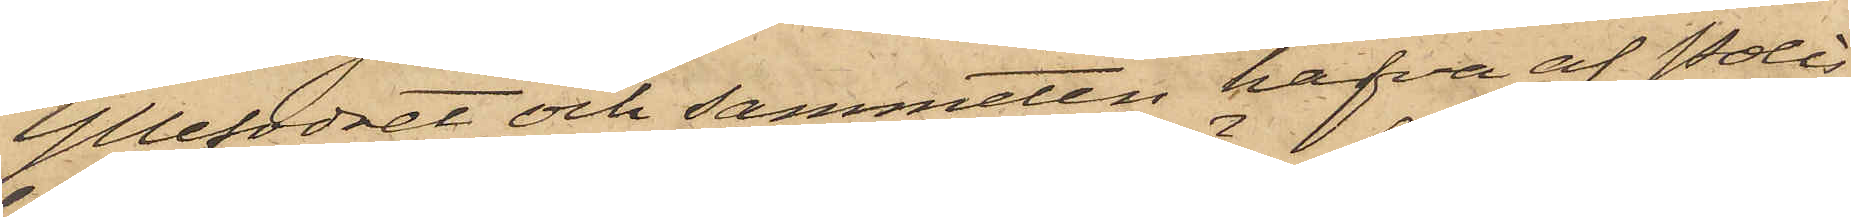Yllefodret och sammeten hafva af Polis¬
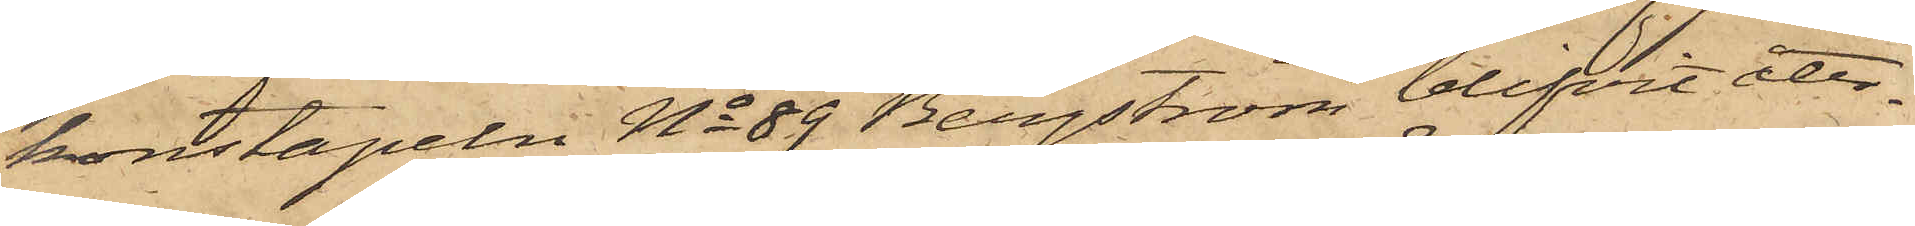konstapeln No 89 Bergström blifvit åter¬
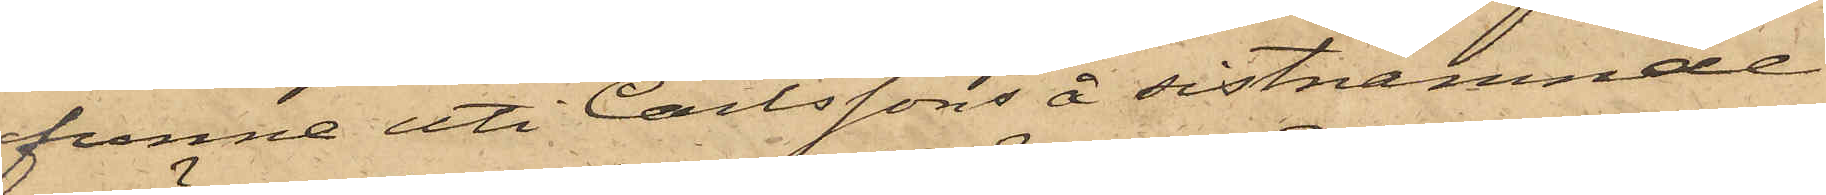funne uti Carlssons å sistnämnde
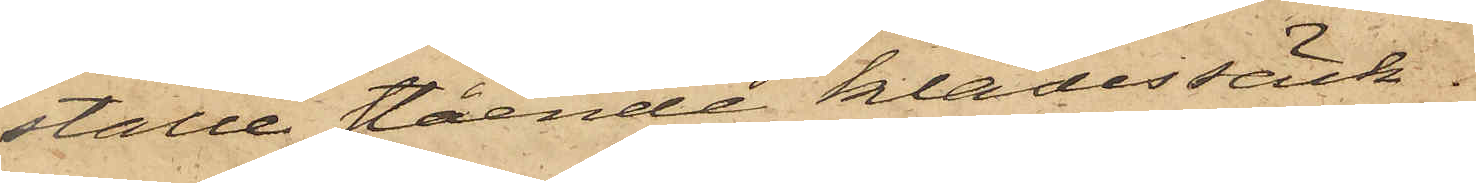ställe stående klädessäck,
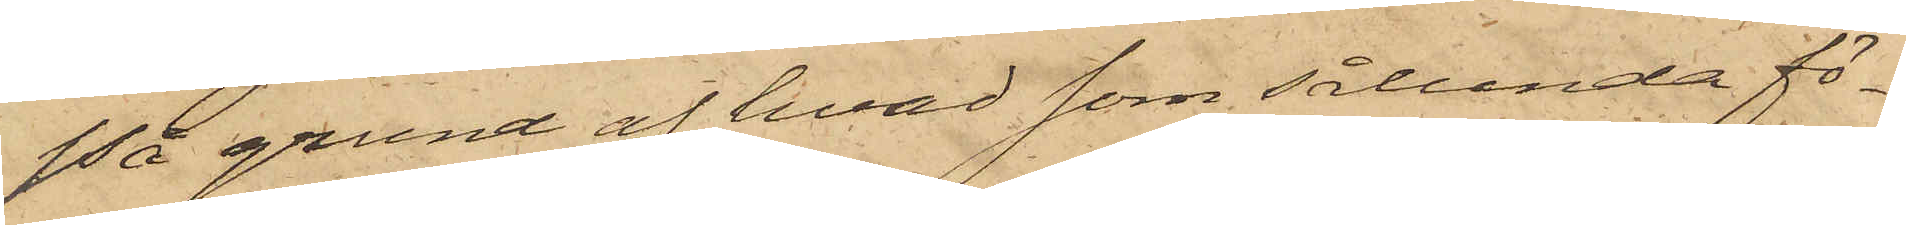På grund af hvad som sålunda fö¬
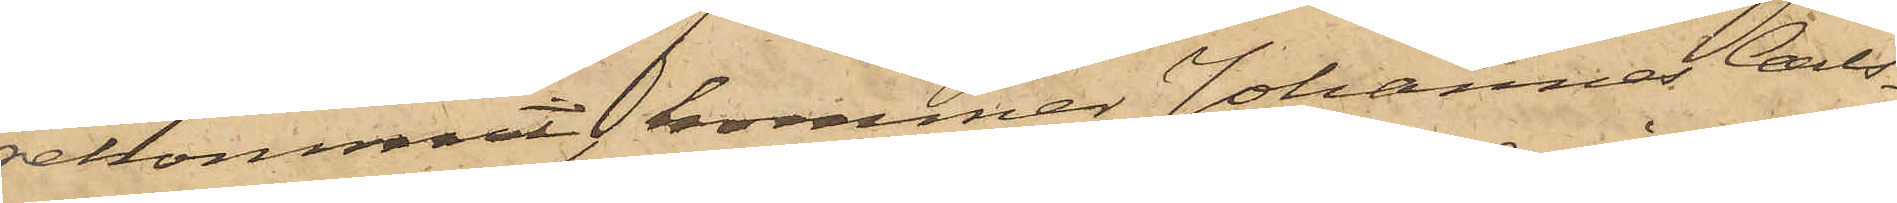rekommit, kommer Johannes Carls¬
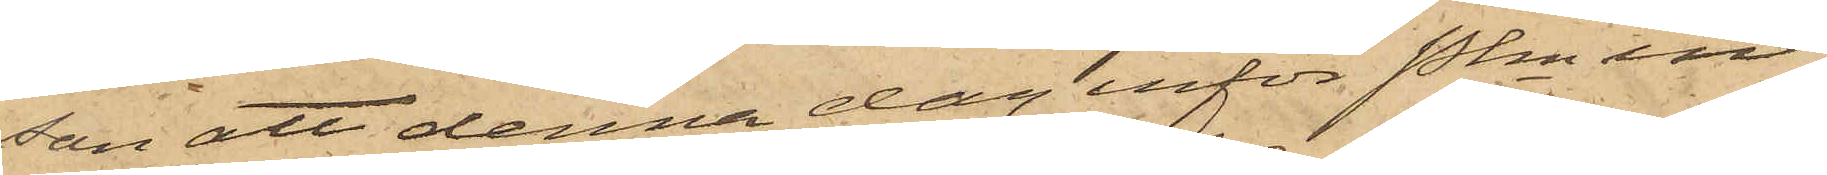son att denna dag inför Pkn in¬
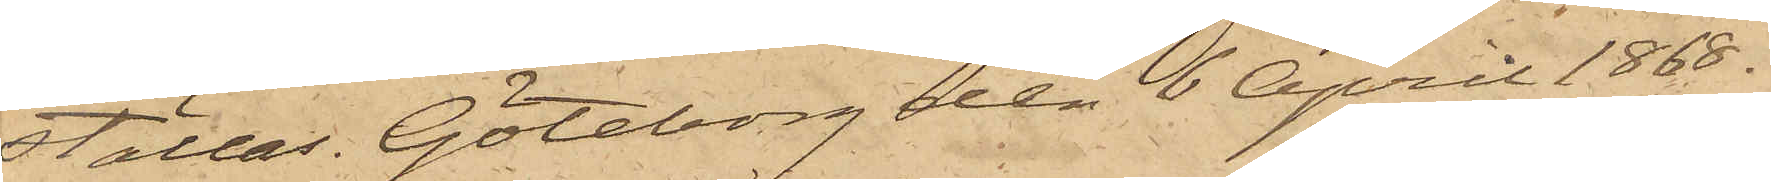ställas. Göteborg den 6 April 1868.
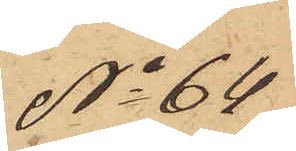No 64
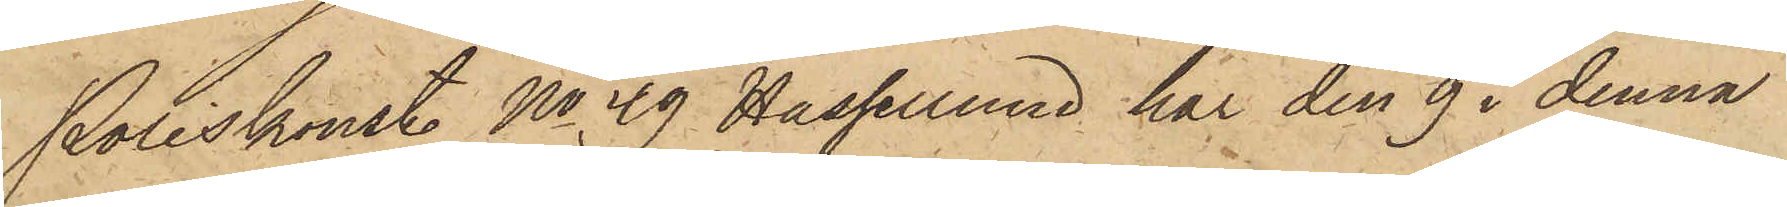Poliskonst. No 39 Hassellund har den 9 i denna
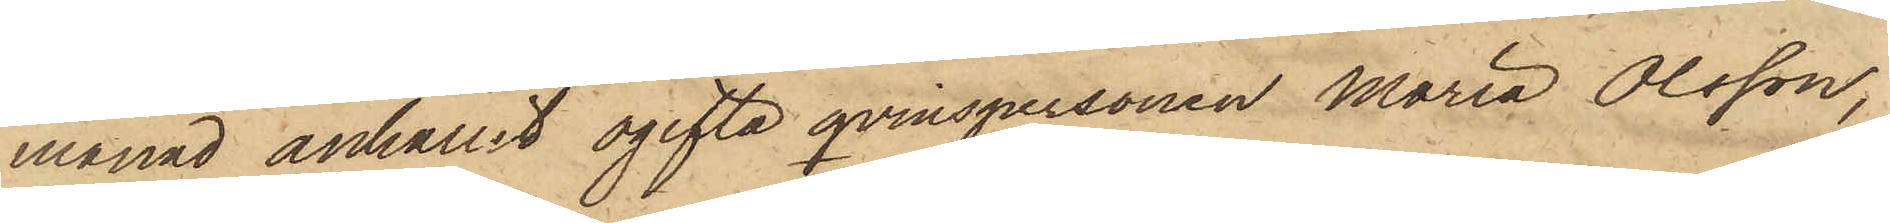månad anhållit ogifta qvinspersonen Maria Olsson,
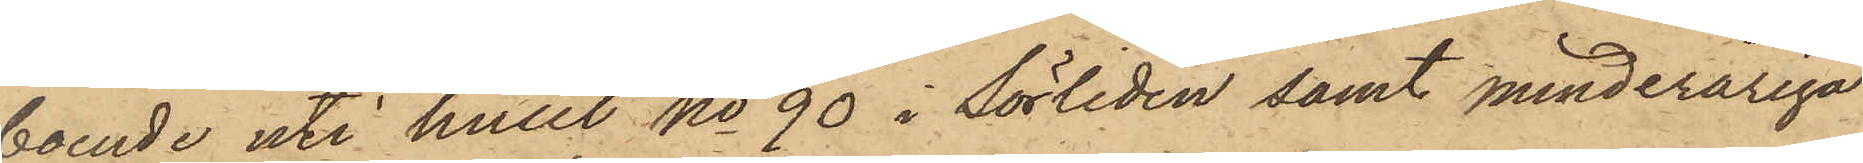boende uti huset No 90 i Sörliden samt minderåriga
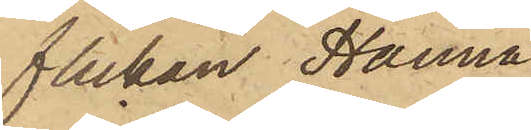flickan Hanna
